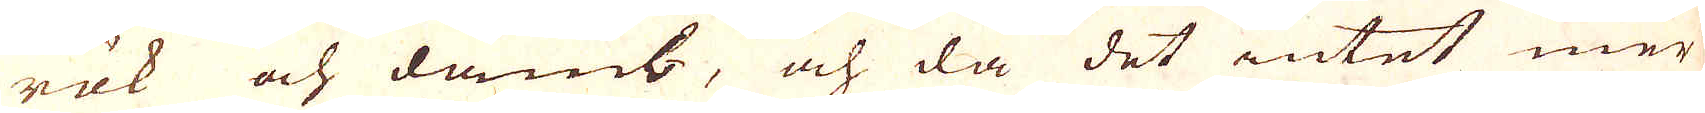rök och damb, och då det intet mer
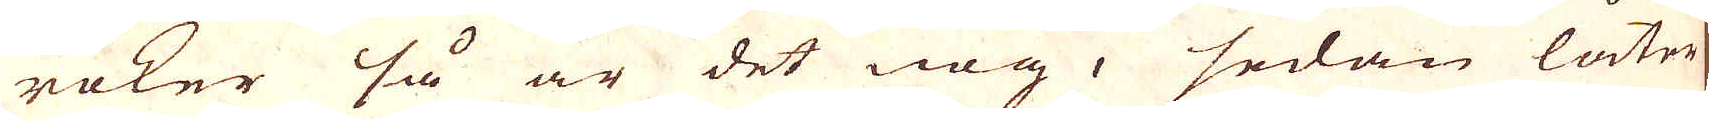röker så är det nog, sedan låter
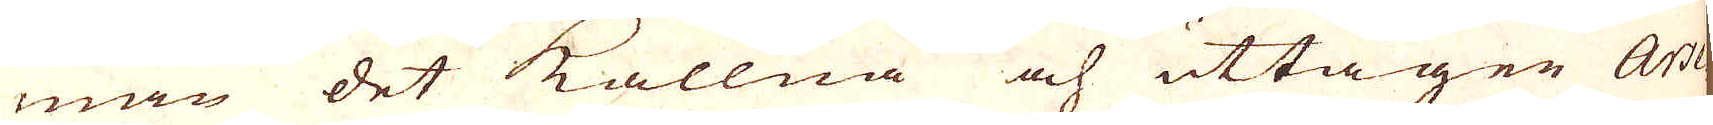man det kallna och uttagen Arse-
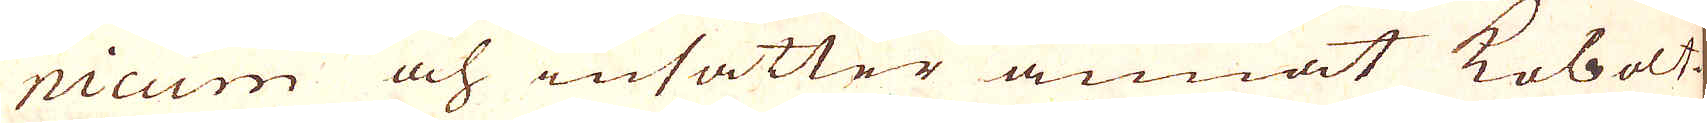nicum och insätter annat kobolt
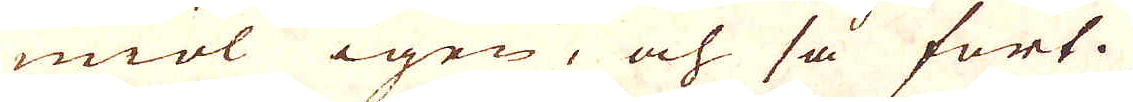miöl igen, och så fort.
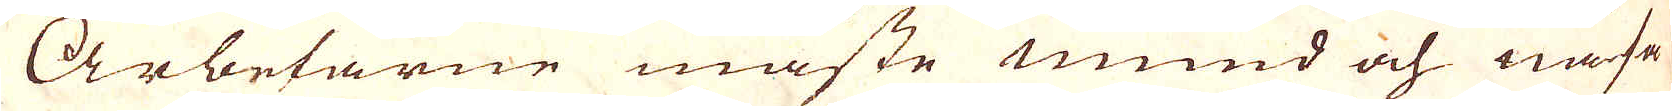Arbetarne måste mund och näsa
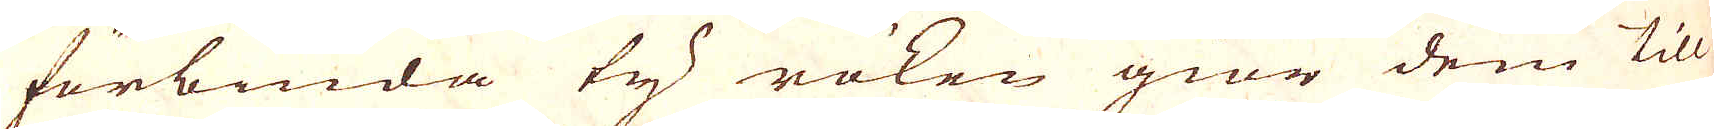förbinda ty röken giör dem till
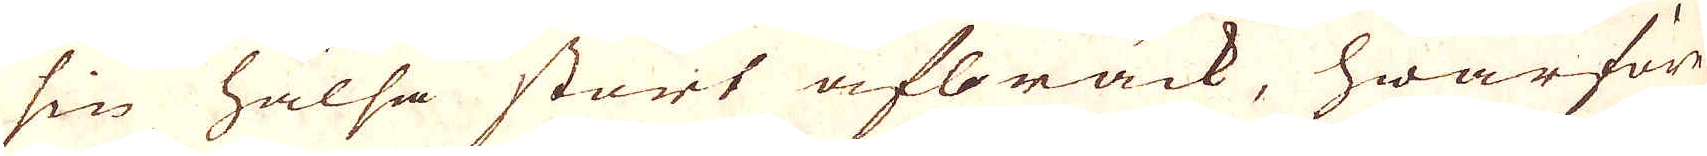sin hälsa stort afbräck, hwarföre
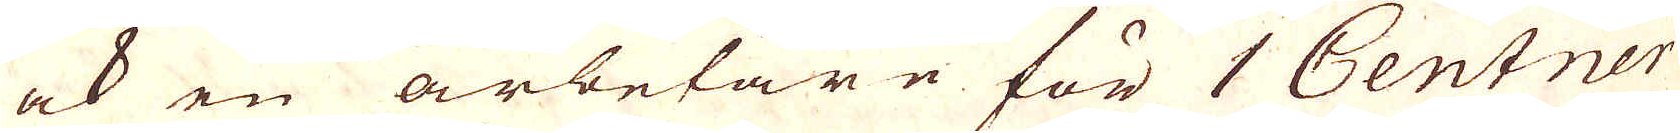ock en arbetare för 1 Centner
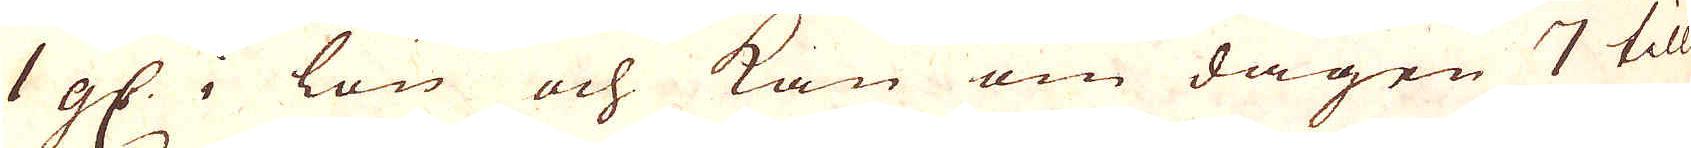1 gs: i lön och kan om dagen 7 till
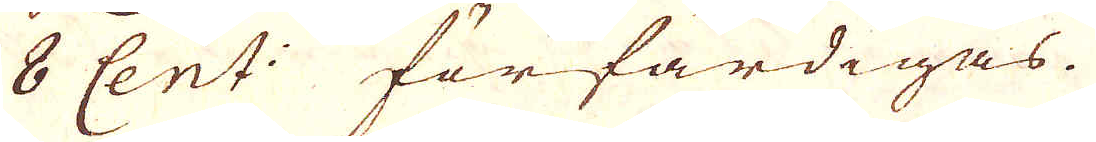8 Cent: förfärdigas.
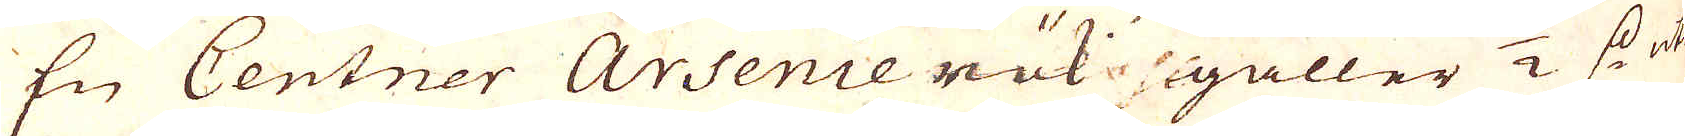En Centner Ansenierök gäller 1/2 s: uti
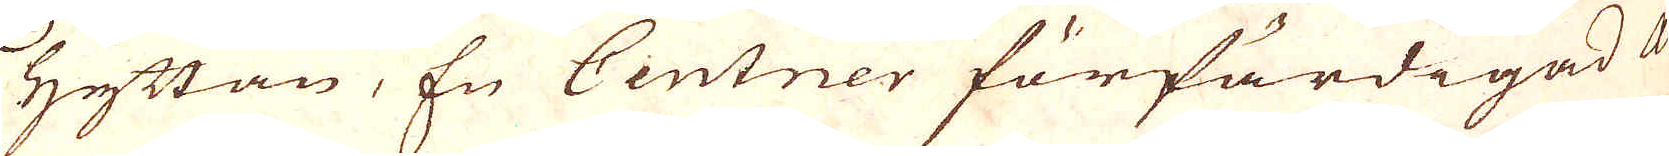Hyttan. En Centner förfärdigad ar-
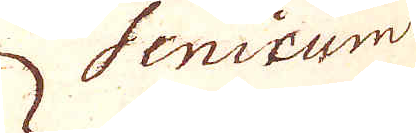senicum
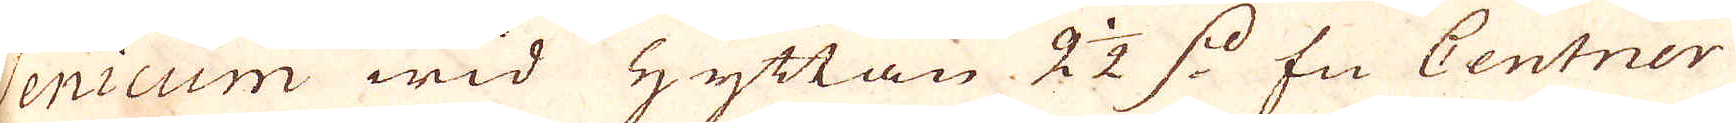senicum wid Hyttan 2 1/2 s: En Centner
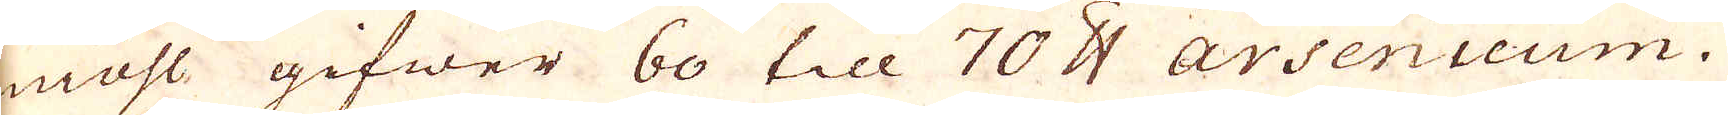miöl gifwer 60 till 70 skålpund Arsenicum.
